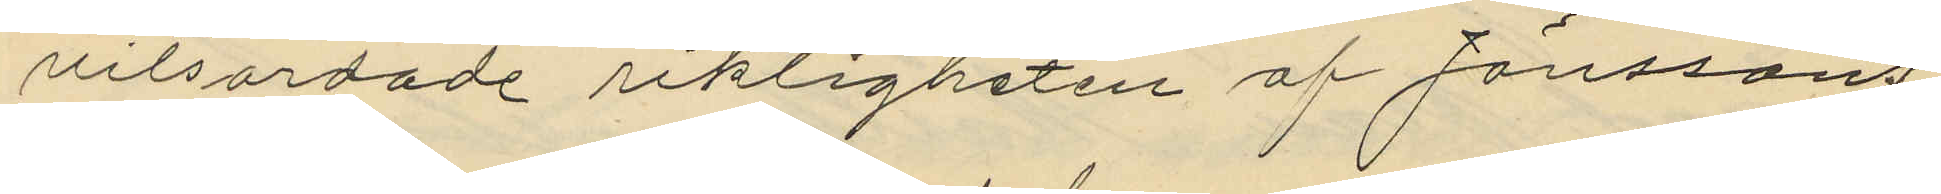vitsordade riktigheten af Jönssons
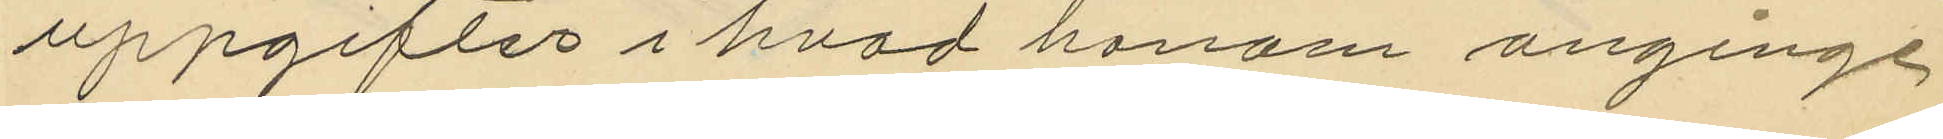uppgifter i hvad honom anginge,
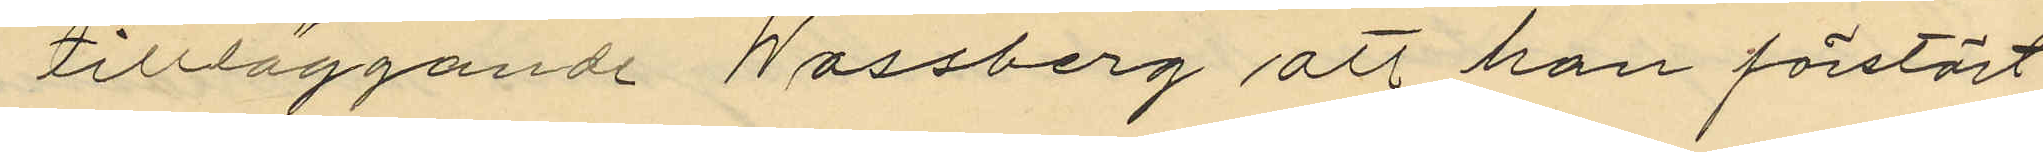tillläggande Wassberg att han förstört
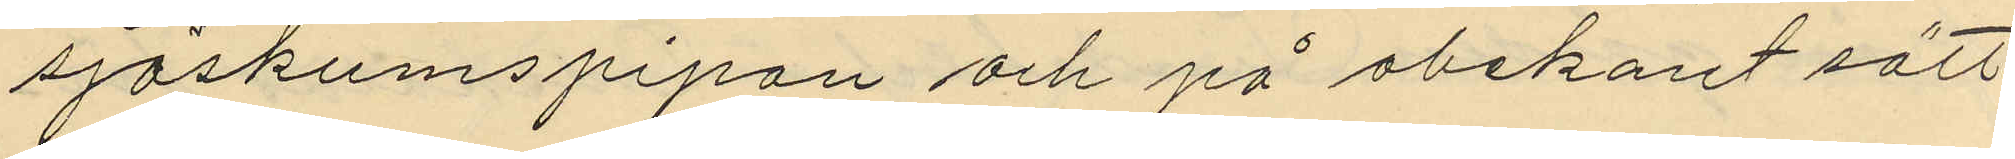sjöskumspipan och på obekant sätt
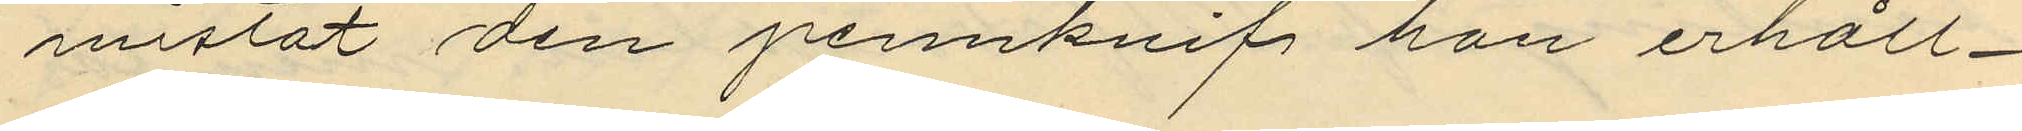mistat den pennknif han erhåll¬
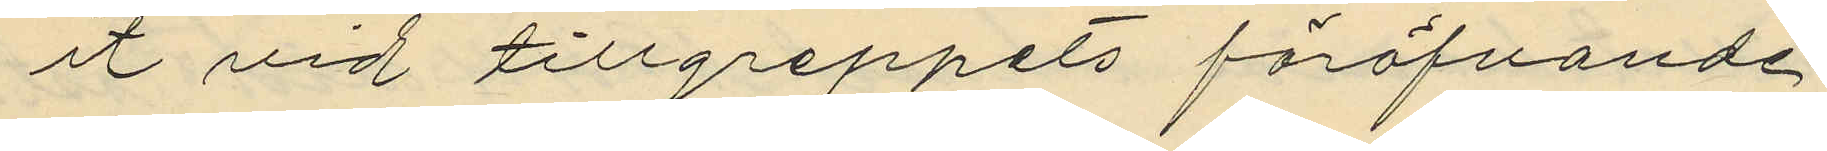it vid tillgreppets föröfvande.
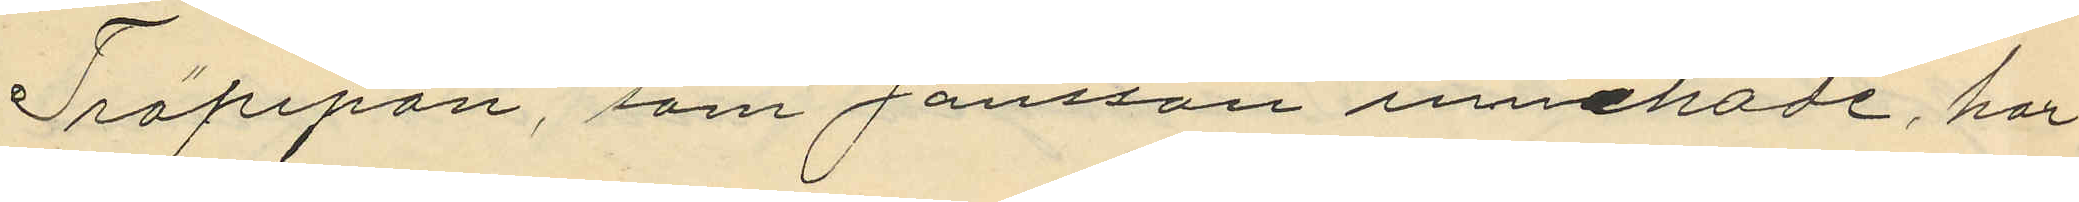Träpipan, som Jansson innehade, har
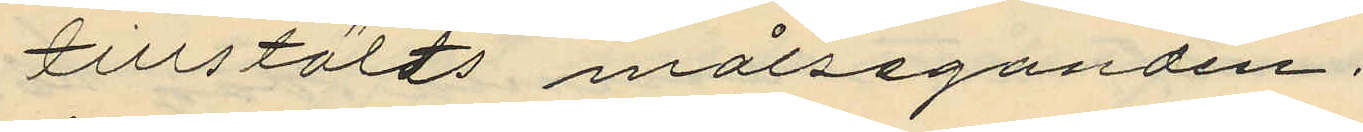tillstälts målseganden.
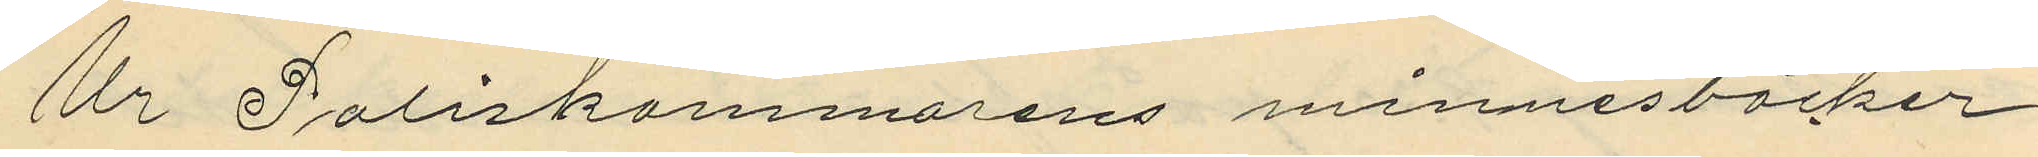Ur Poliskammarens minnesböcker
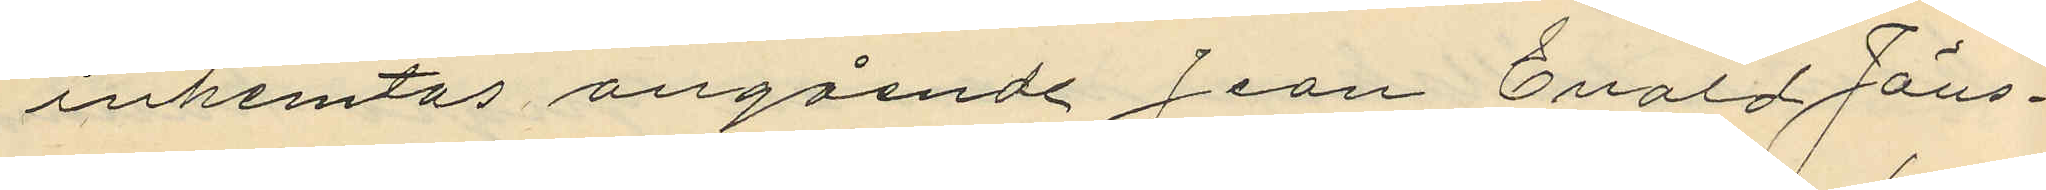inhemtas angående Jean Evald Jöns¬
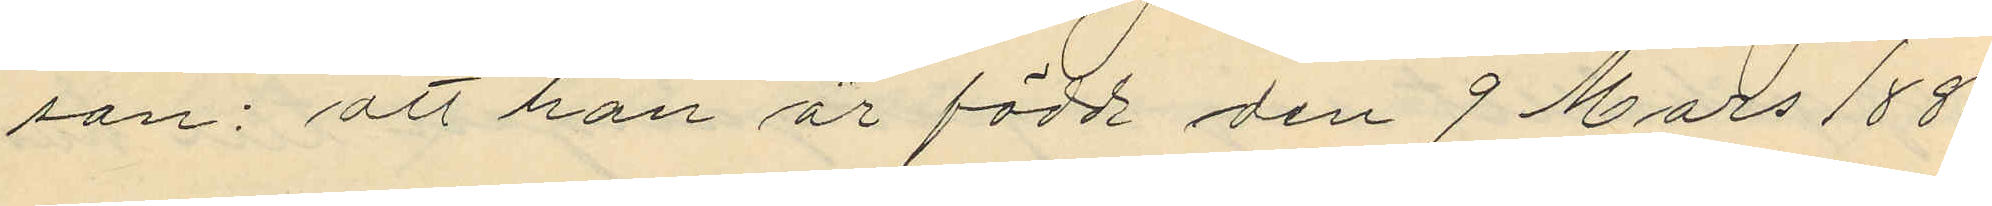son: att han är född den 9 Mars 1880
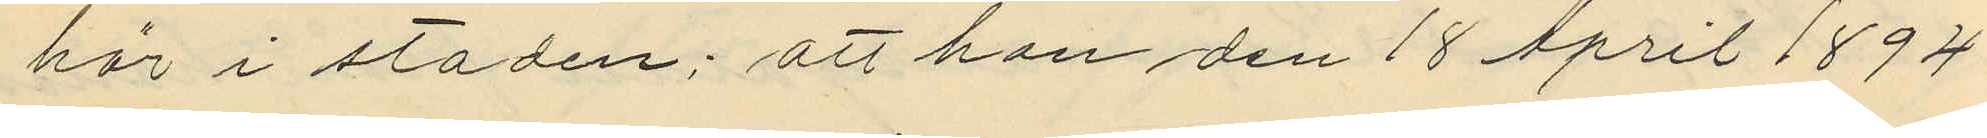här i staden; att han den 18 April 1894
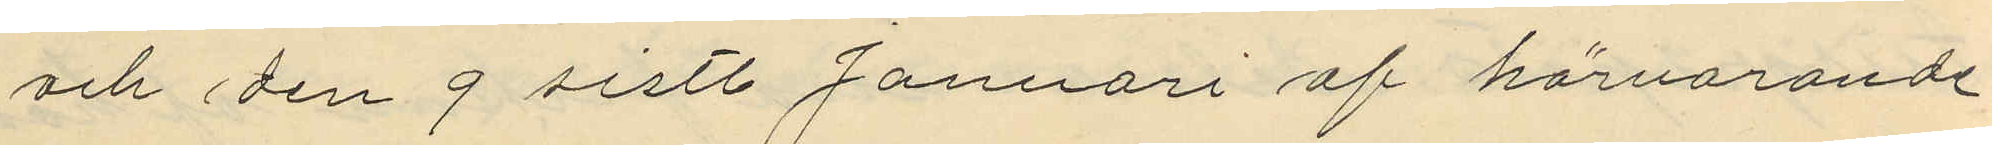och den 9 sistl. Januari af härvarande
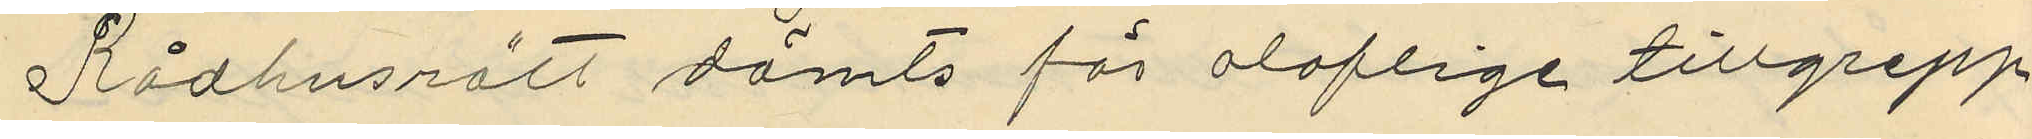Rådhusrätt dömts för oloflige tillgrepp
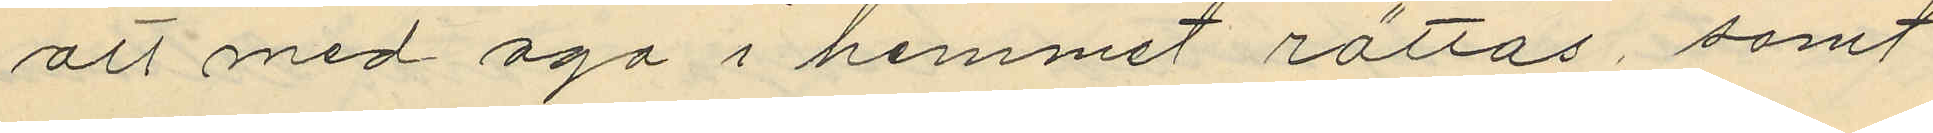att med aga i hemmet rättas, samt
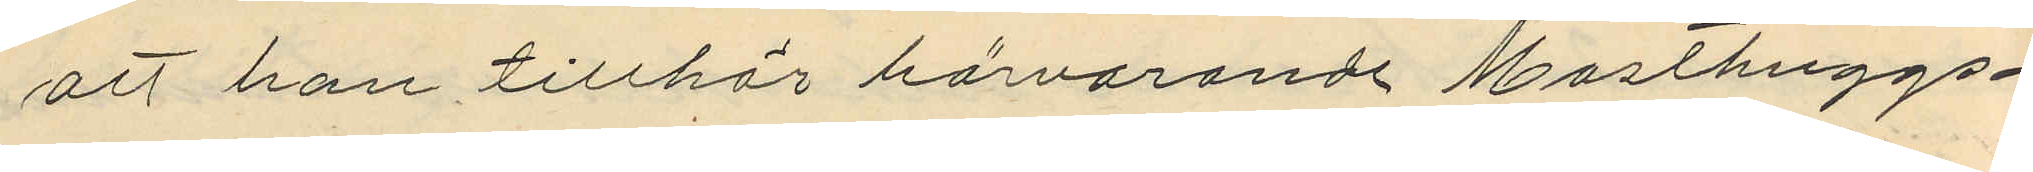att han tillhör härvarande Masthuggs¬
